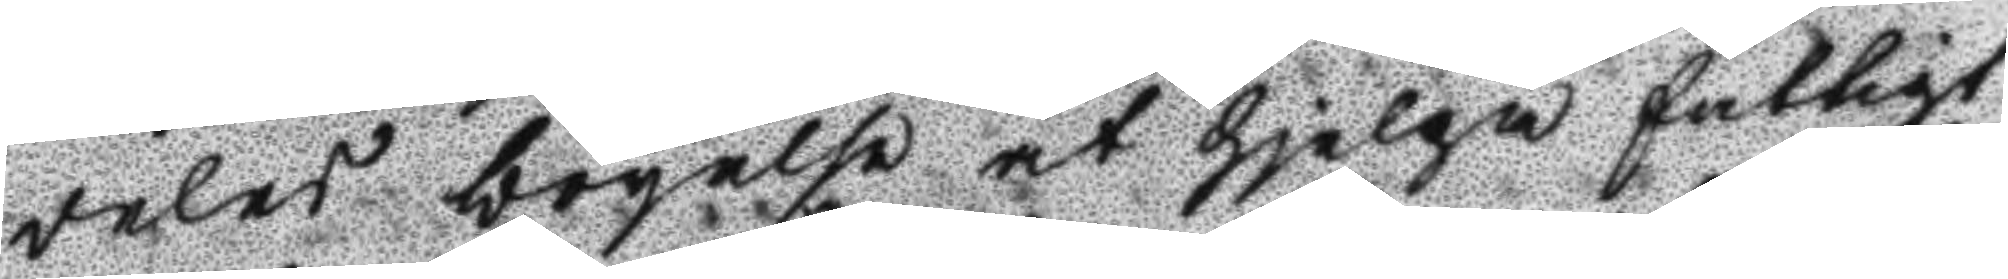deles bögelse at hjelpa fattigt
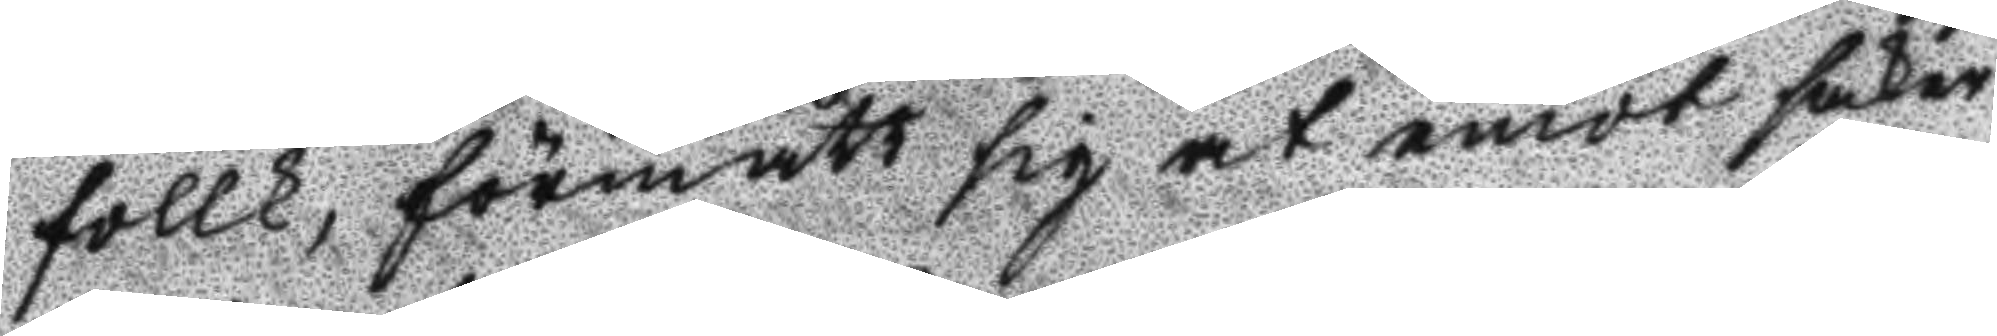follk, förmått sig at emot säker¬
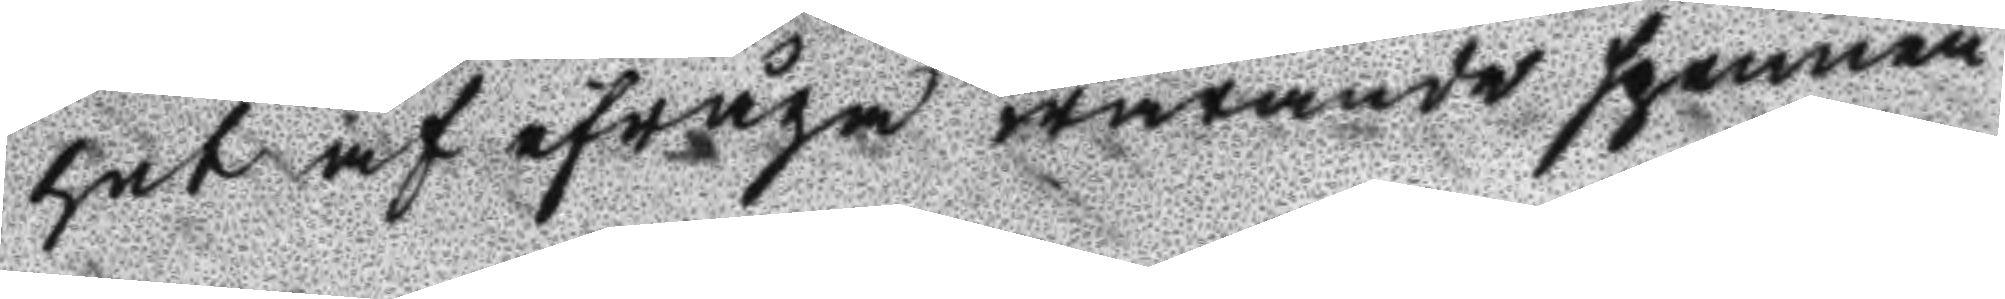het af efråga warande spennen
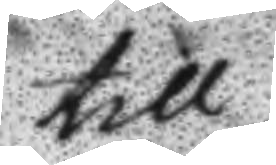till 
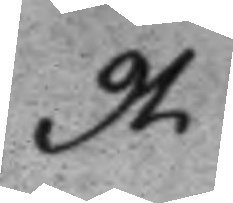91.
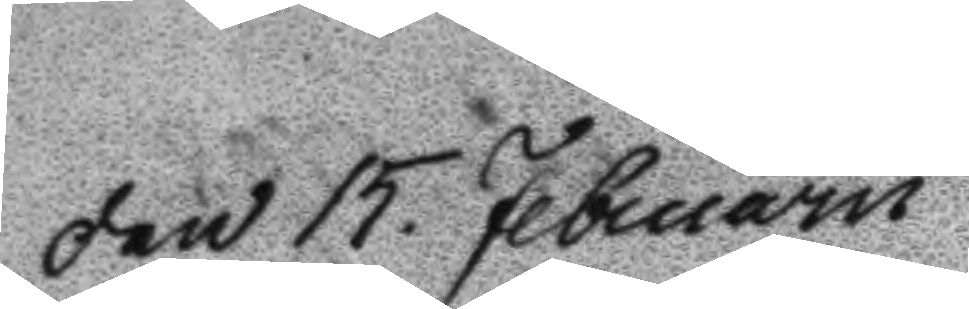Den 15. Februarii
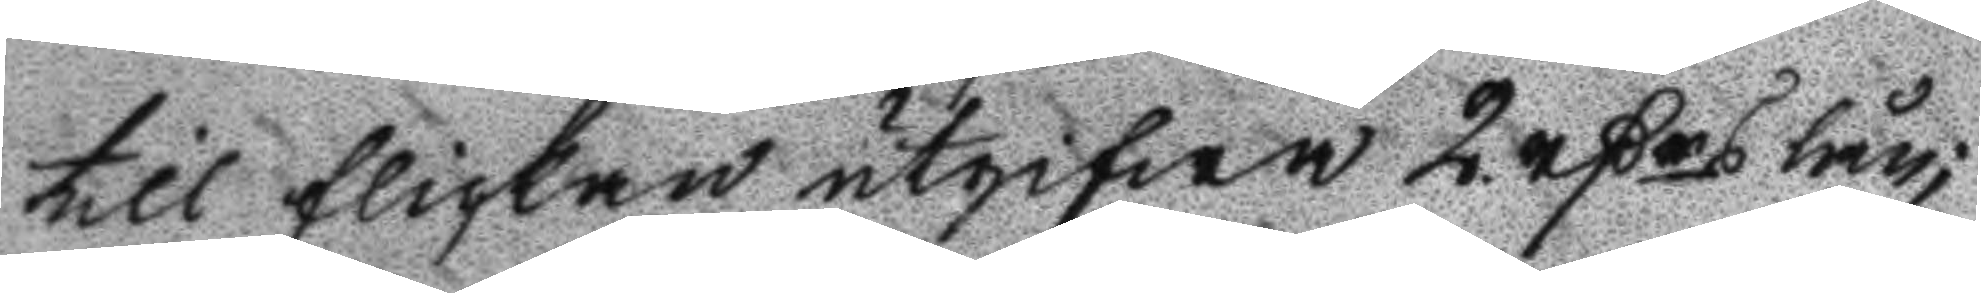till flickan utgifa 2 rßrs lån;
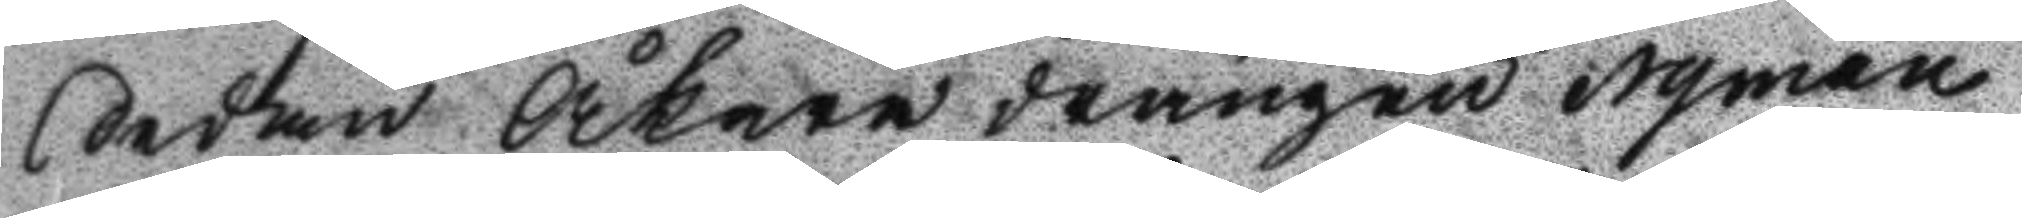Sedan Åkare drängen Nyman
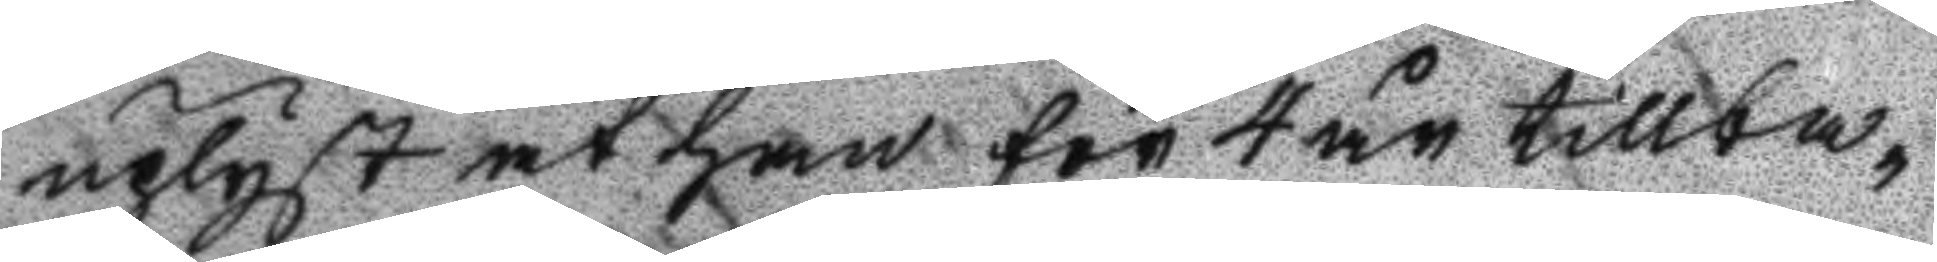uplyst at han för 4 år tillba¬
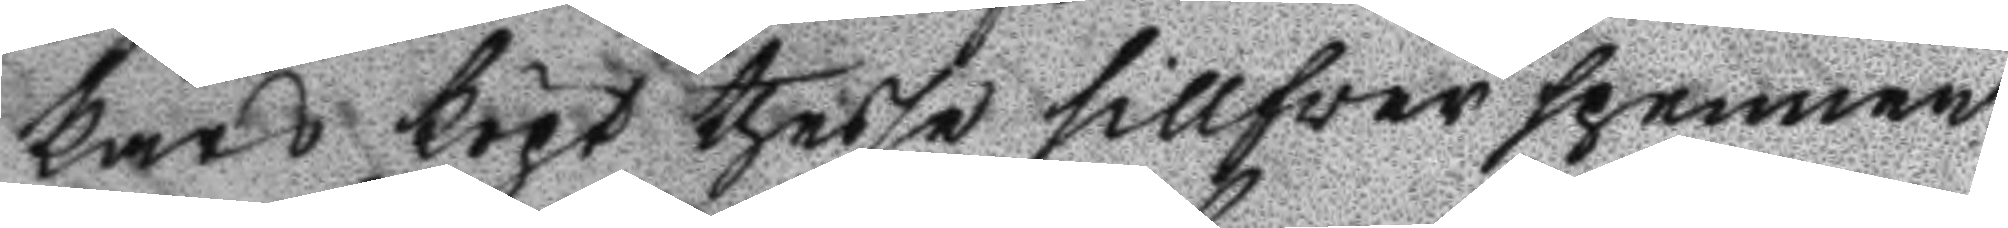kars köpt thesse sillverspennen
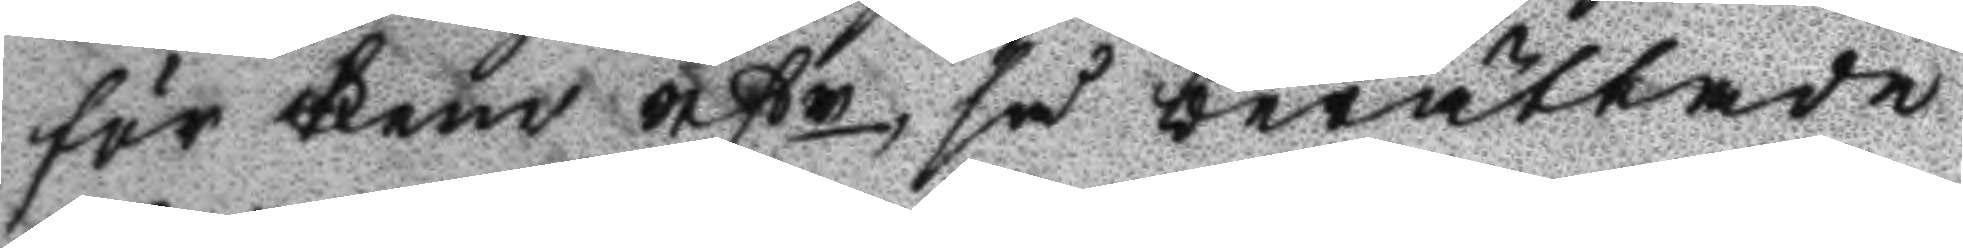för Fem rßr, så berättade
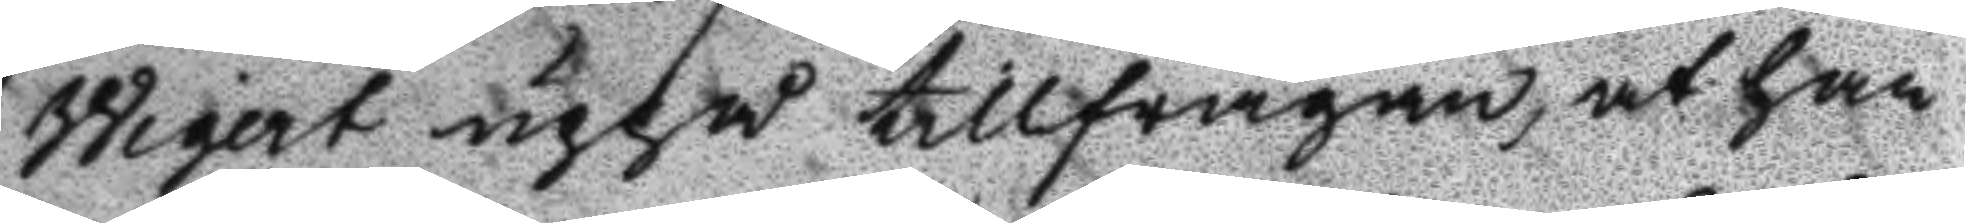Wigert uppå tillfrågan, at han
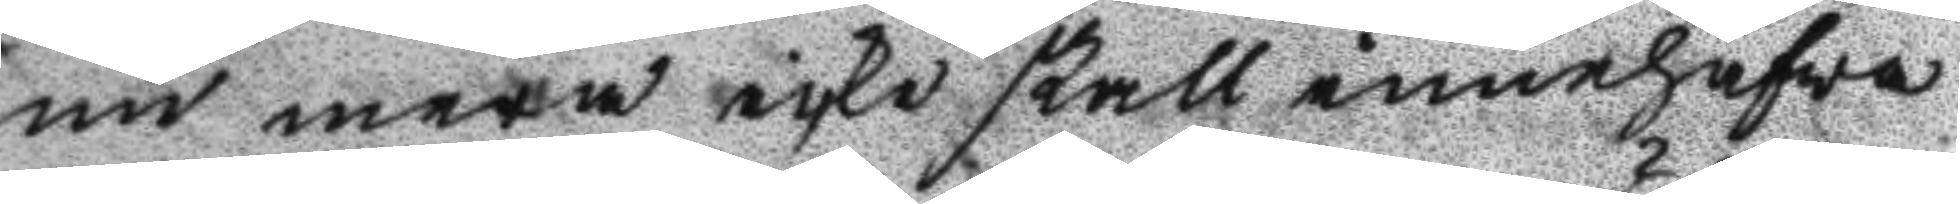nu mera icke skall innehafwa
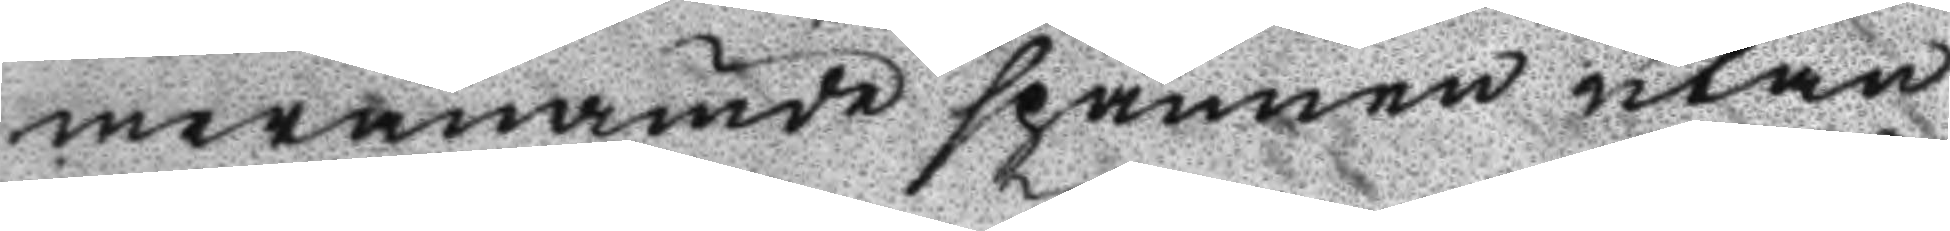meranämde spännen utan
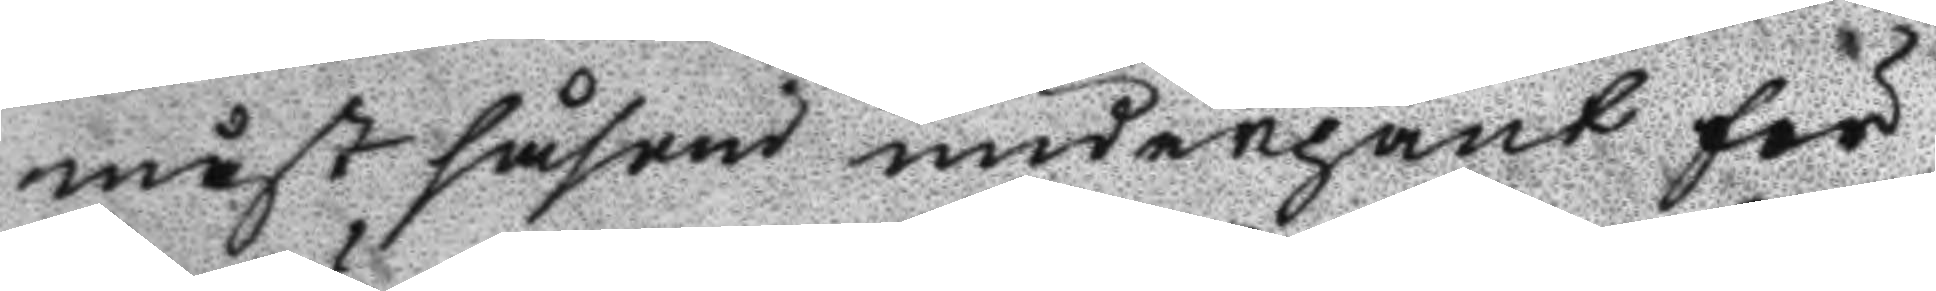måst såsom underpant för
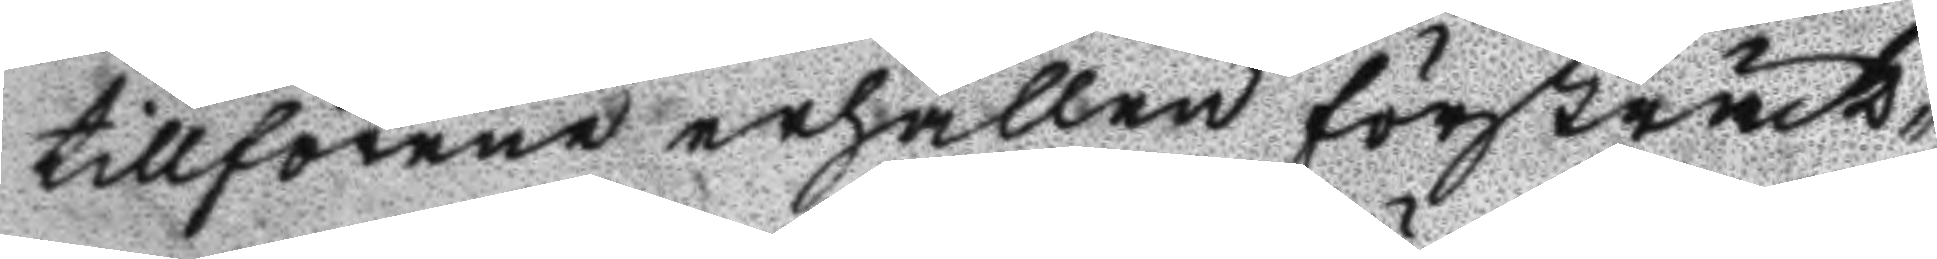tillförene erhållen försträck¬
